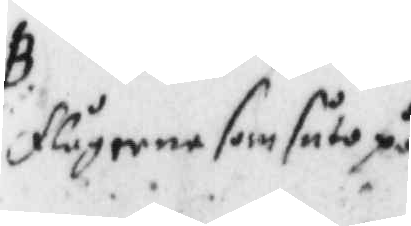flygorne som sutte på
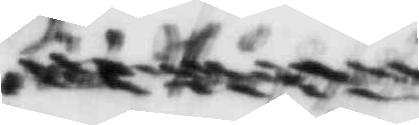xxxxxxxx
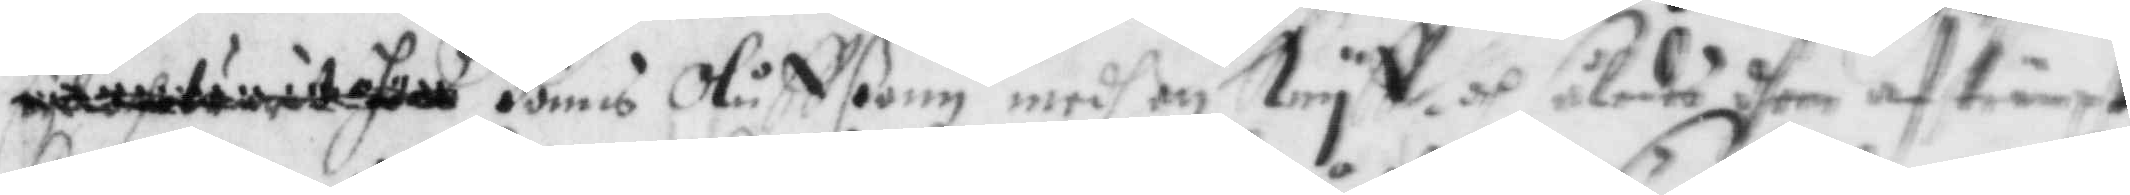xxxxxxxxxxxx Jönns Oluffßonn medh en Knyff och således dhen aftinxt
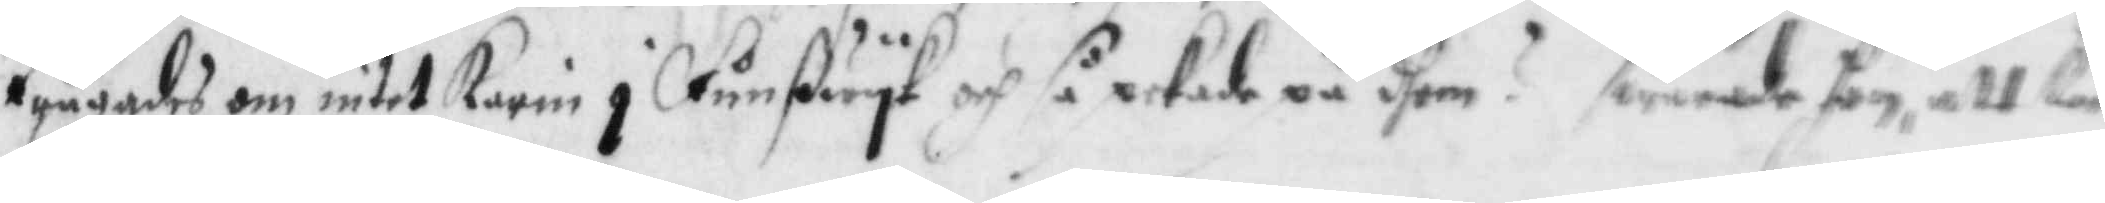frågades om intet Karin i Fånßwyk och så pekade på dhem? swarade hon att Karin
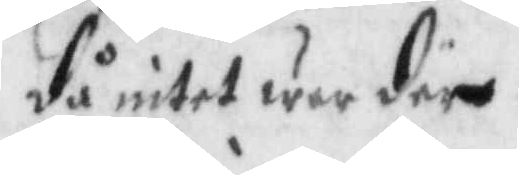då intet war döe.
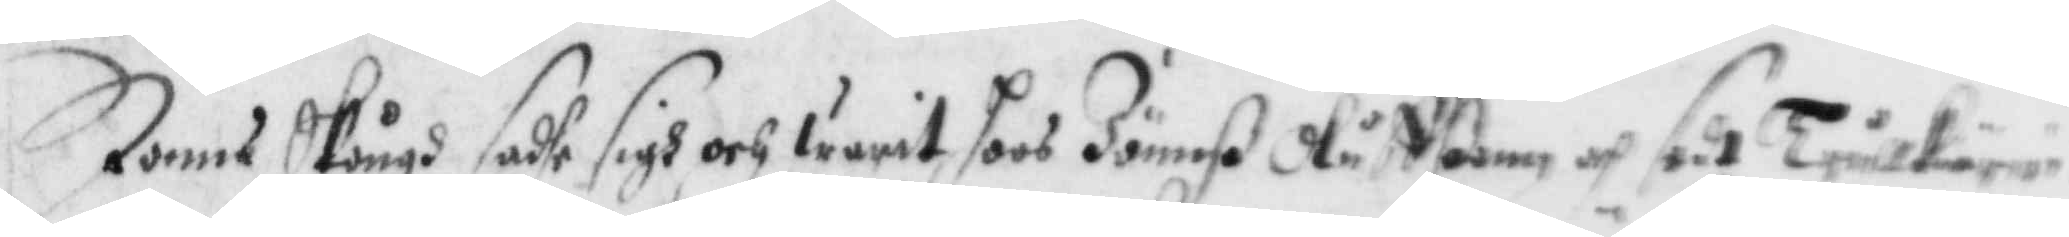Jönns Skough sadhe sigh och warit hoos Jönnß Oluggßonn och sedt TrullKärrin¬
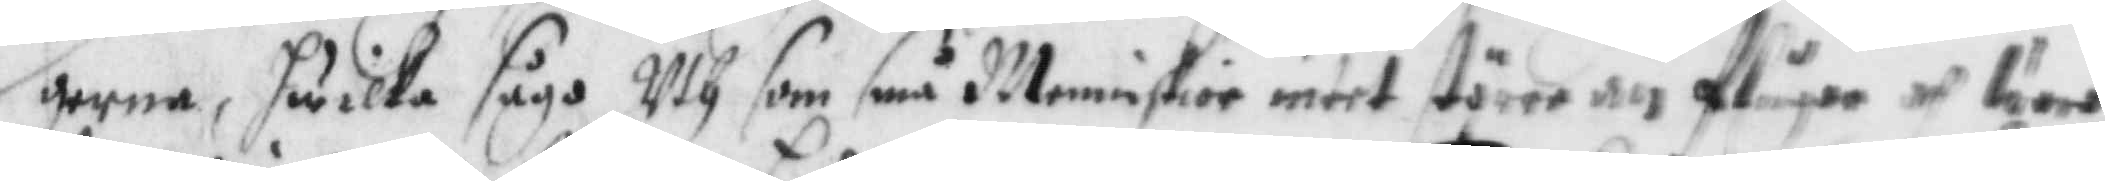gerne, hwilka sågo Uth som små Menniskior intet större än flugor och woro
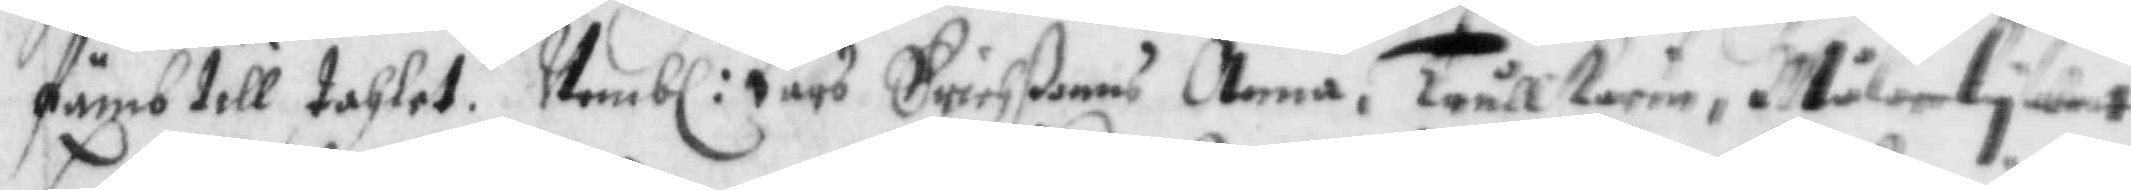fmb till tahlet. Nembl: Lars Erichßonns Anna, TrullKarin, Målerlywet
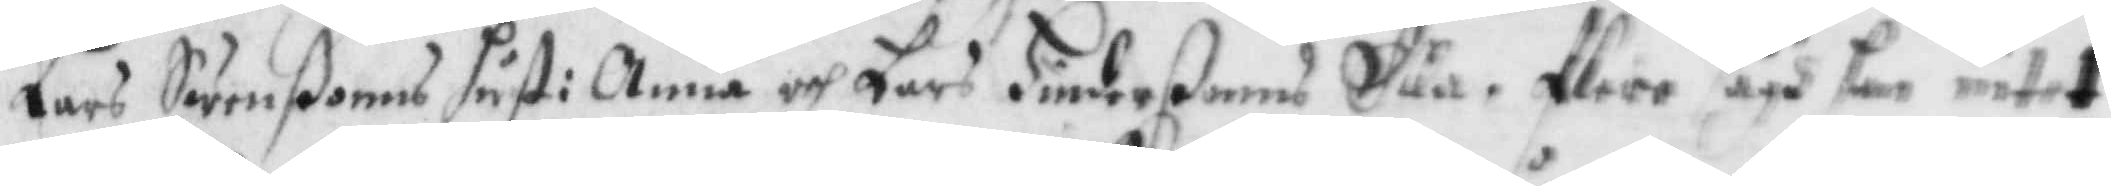Lars Swenßonns hust: Anna och Lars Hinderßonns Eua. flere sågh han intet
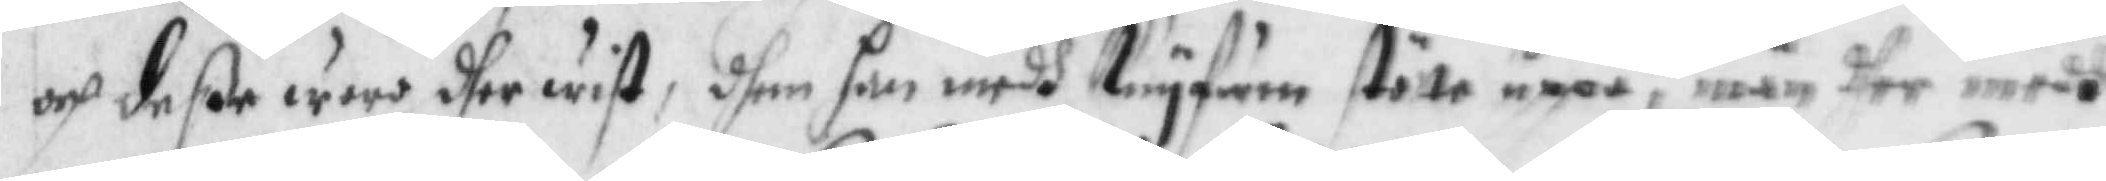och deße war dher wist, dhen han medh Knyfwen stötte uppå, mn dher medh
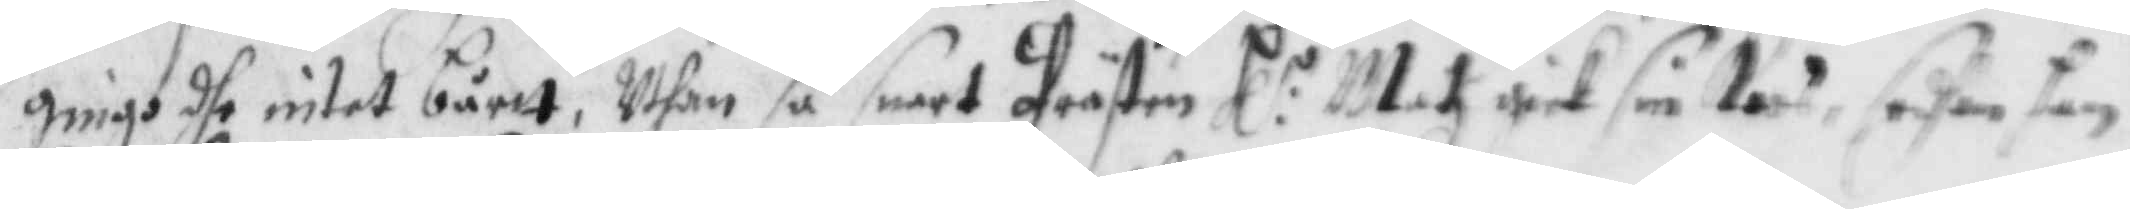gingo dhe intet bårtt, Uthan så snart Prästen Hl:r Matz gick sin Koos, sedhan han 
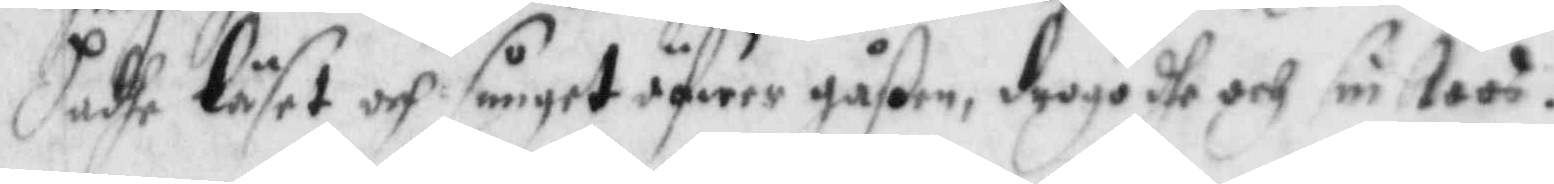hadhe läset och sunget öfwer gåßen, drogo dhe och sin Koos.
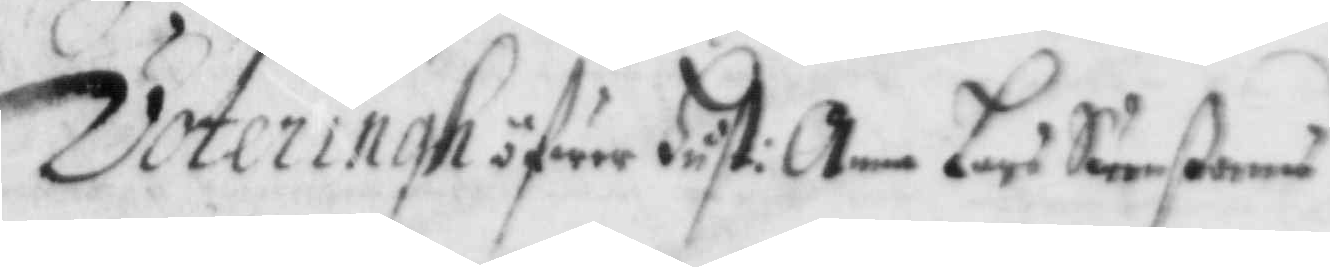Voteringh öfwer Hust: Anna Lars Swenßonns
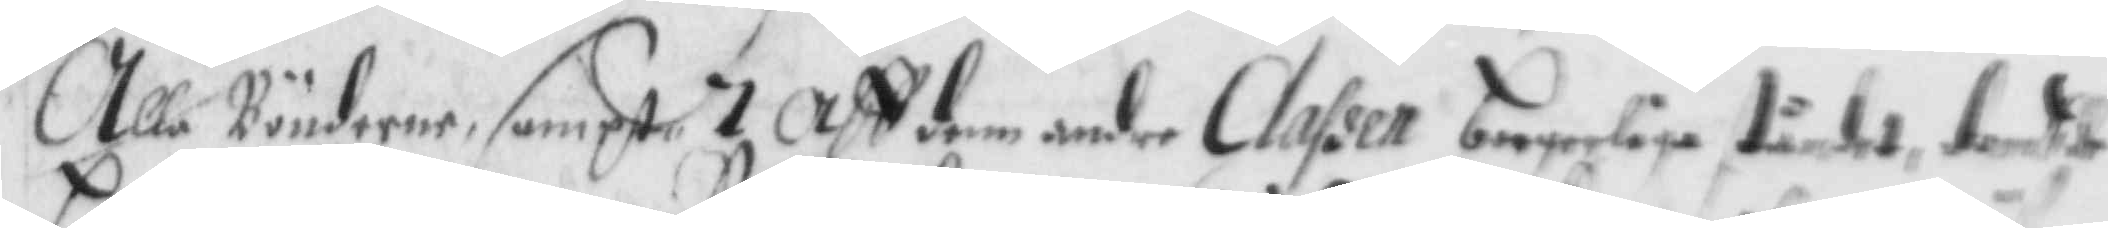Alla Bönderne, sampt 7 aff dem andre Classen borgerlige ståndet, dömbte
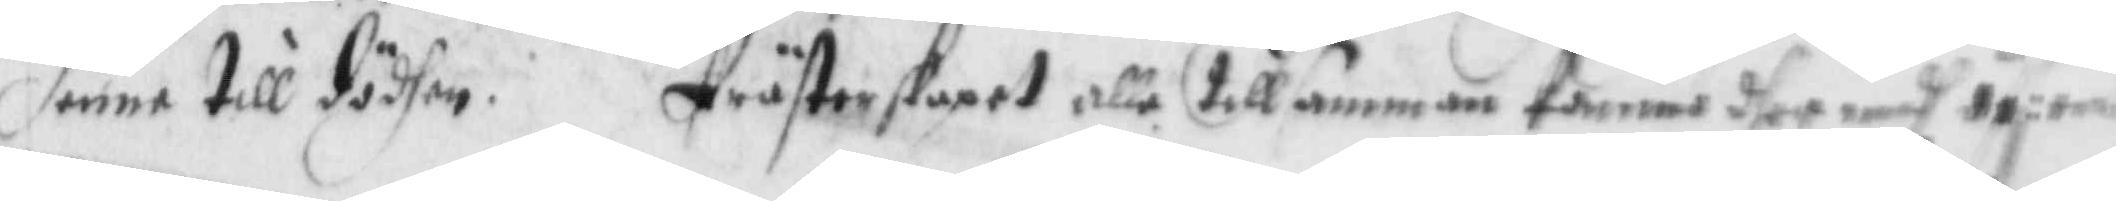henne till dödhen. Präseskapet alle tillsamman kommo dher medh öf:ens
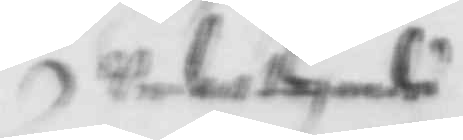Undantagandes
